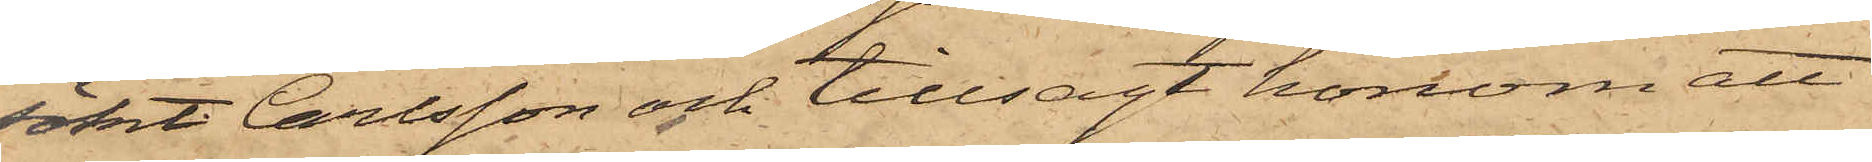sökt Carlsson och tillsagt honom att
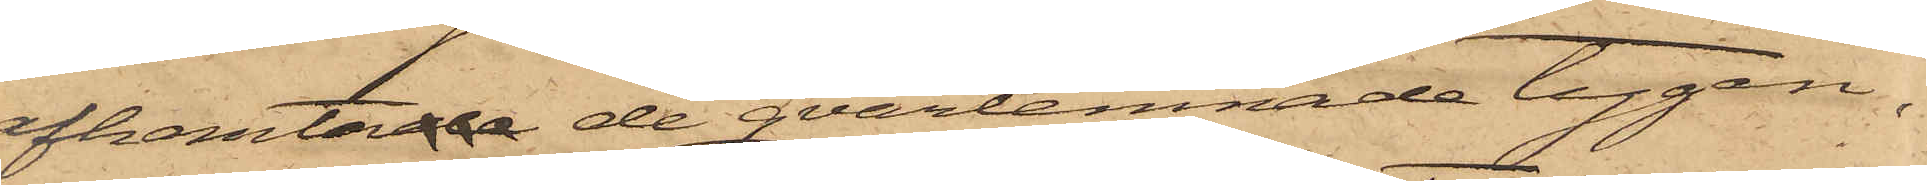afhemtade de qvarlemnade tygen,
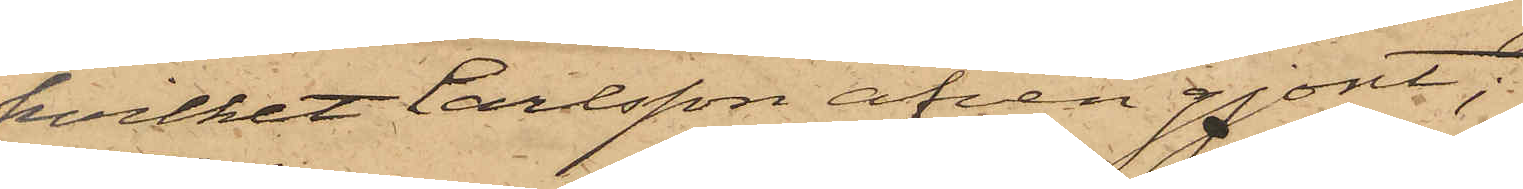hvilket Carlsson äfven gjort;
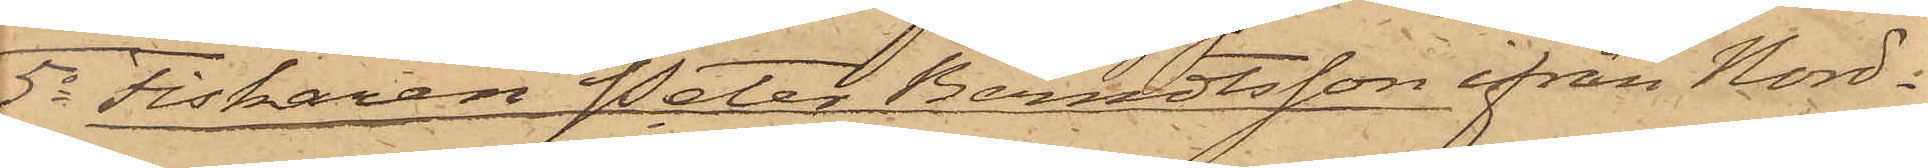5o Fiskaren Peter Berndtsson ifrån Nord¬
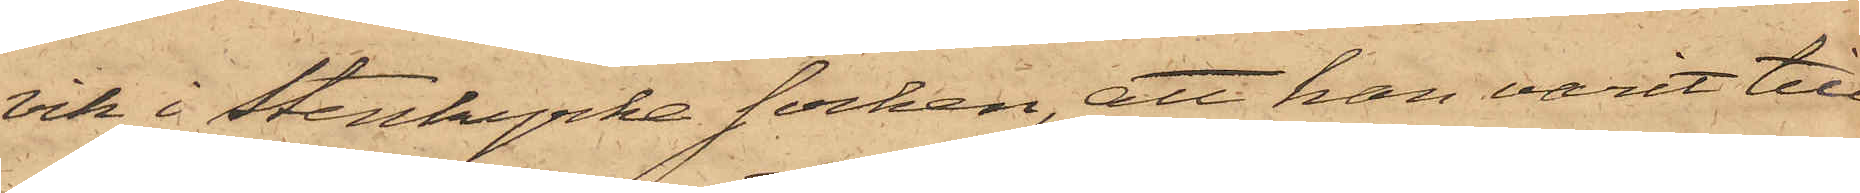vik i Stenkyrke Socken, att han varit till¬
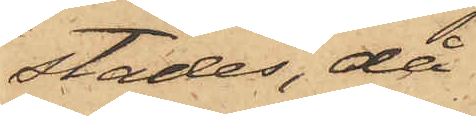städes, då
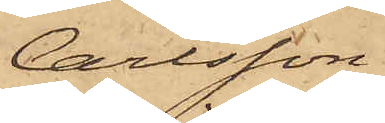Carlsson
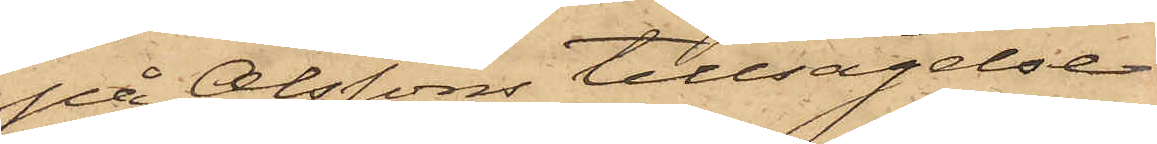på Olssons tillsägelse
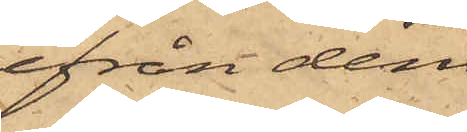ifrån den
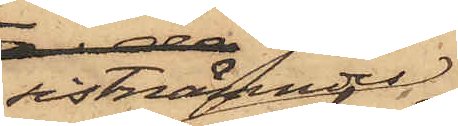sistnämndes
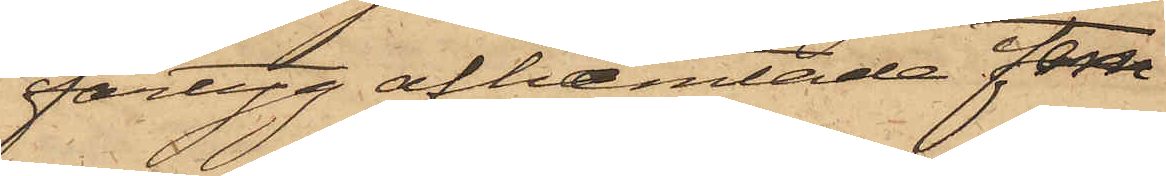fartyg afhemtade fem
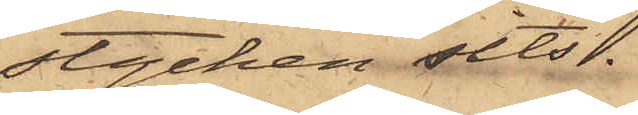stycken sits.
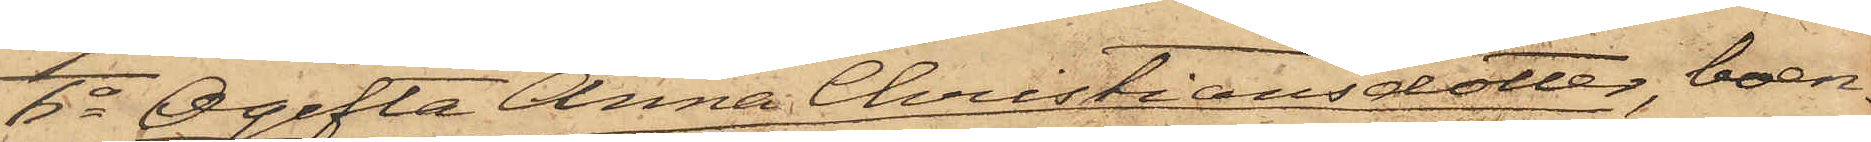6o Ogifta Anna Christiansdotter, boen¬
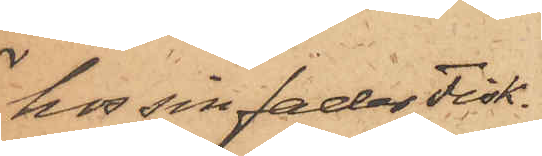hos sin fader Fisk¬
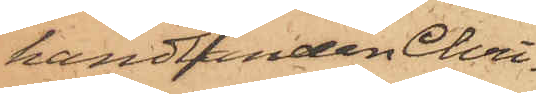handlanden Chri¬
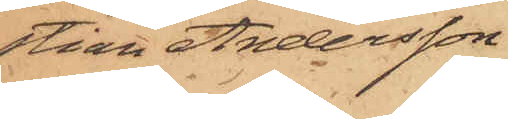stian Andersson
